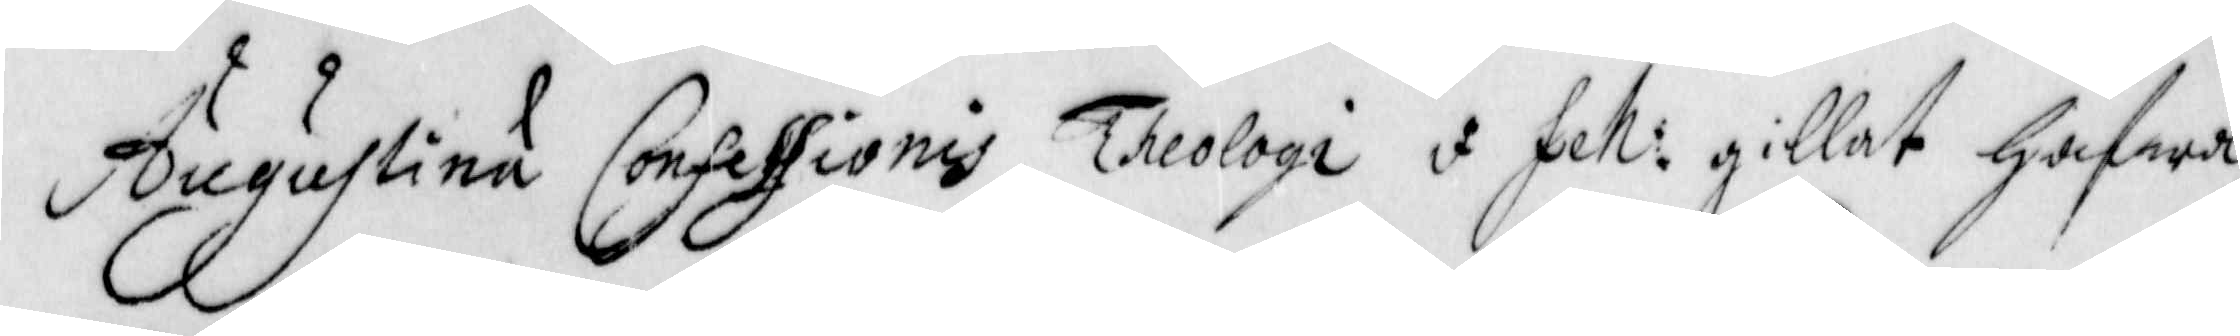Augustina Confessionis Theologi I feh: gillat hafwa
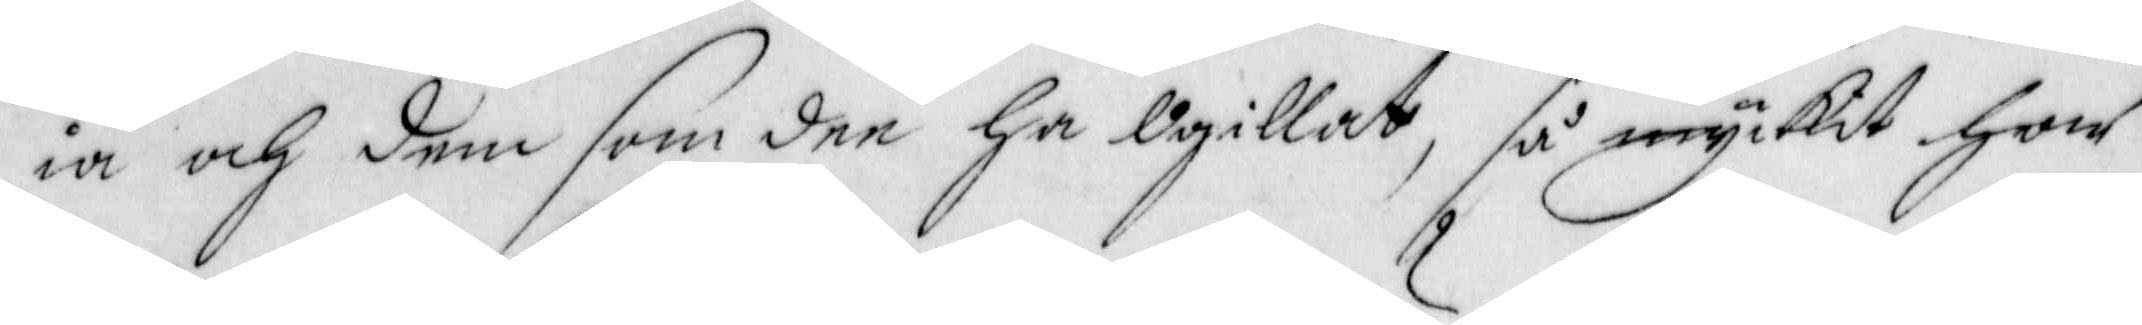ia och dem som dee ha Ogillat, så myckit har
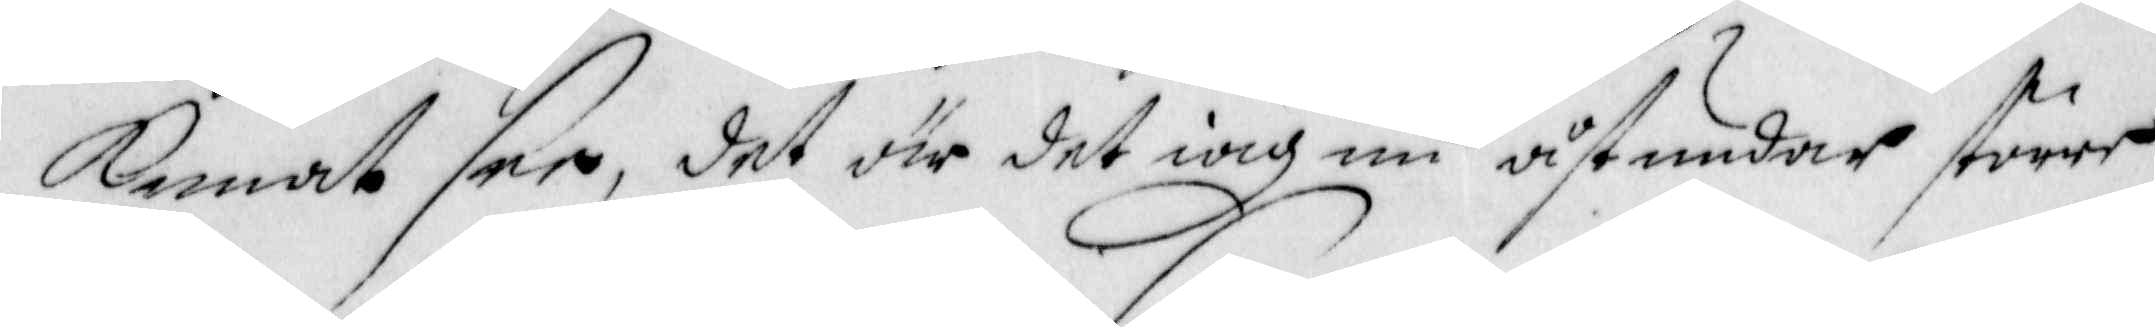kunat see, det är det iag nu åstundar större
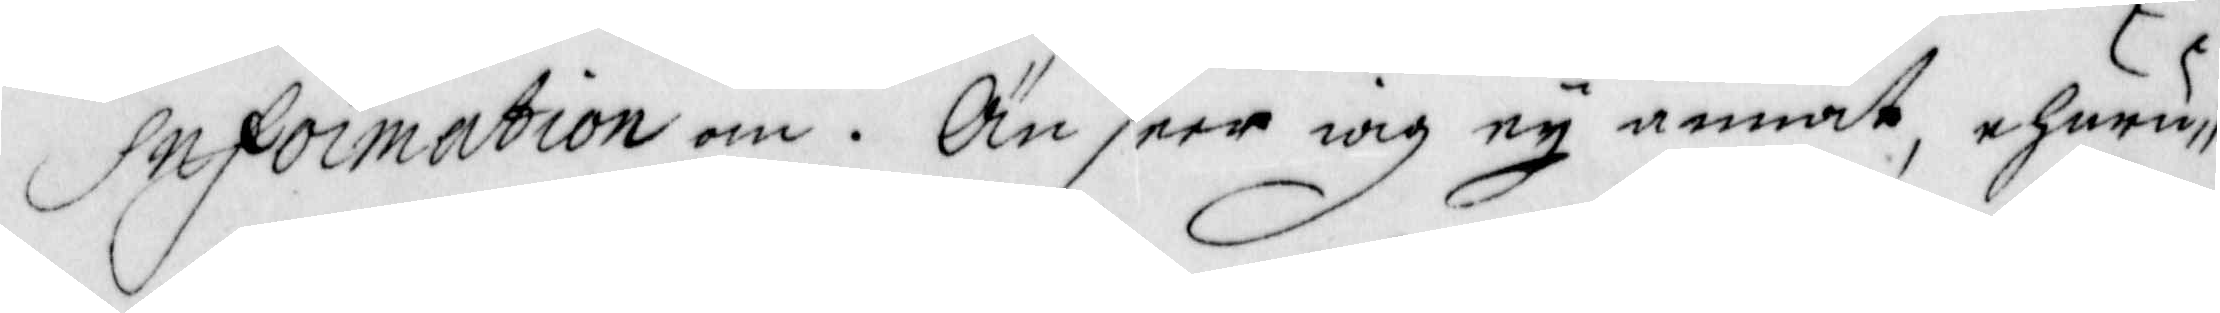information om. Än seer iag ey annat, ehuru
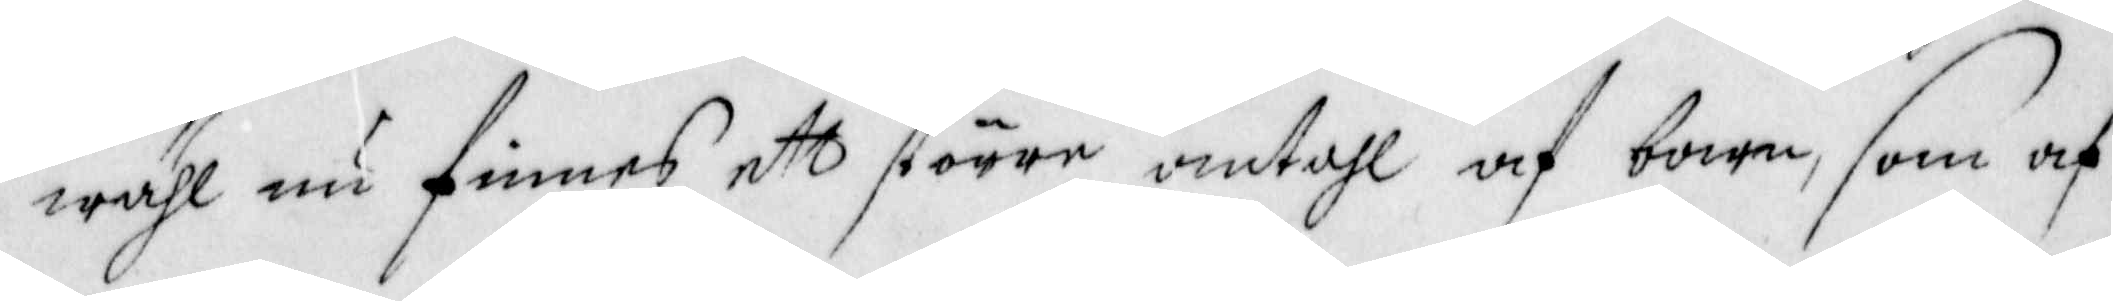wähl nu finnes ett större antahl af barn, som af
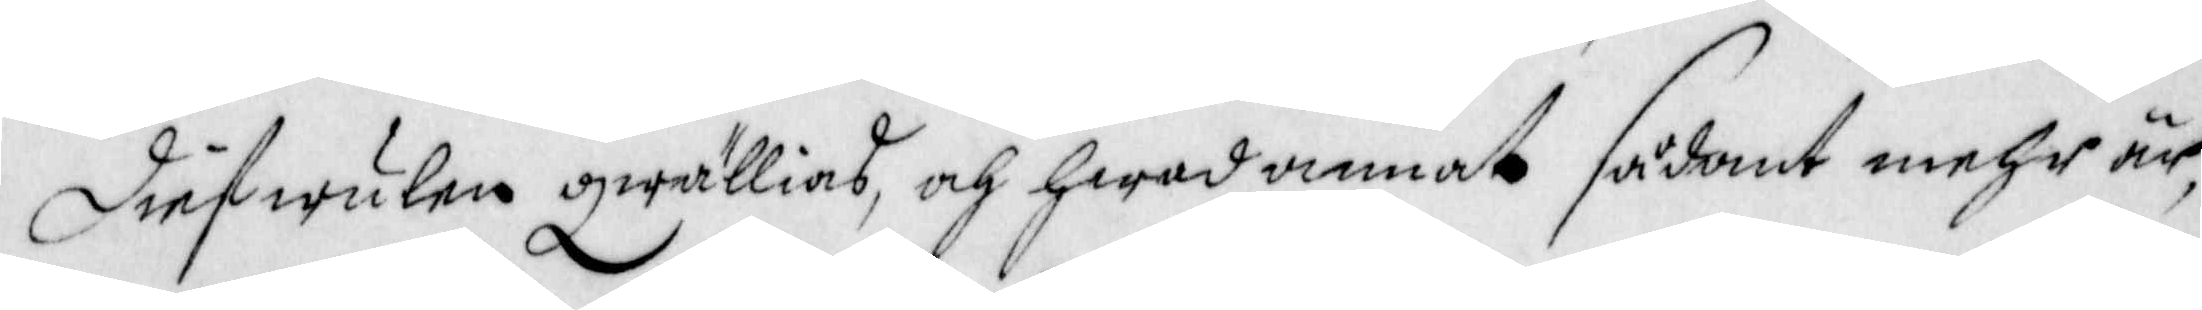diefwulen qwällias, och hwad annat sådant mehr är,
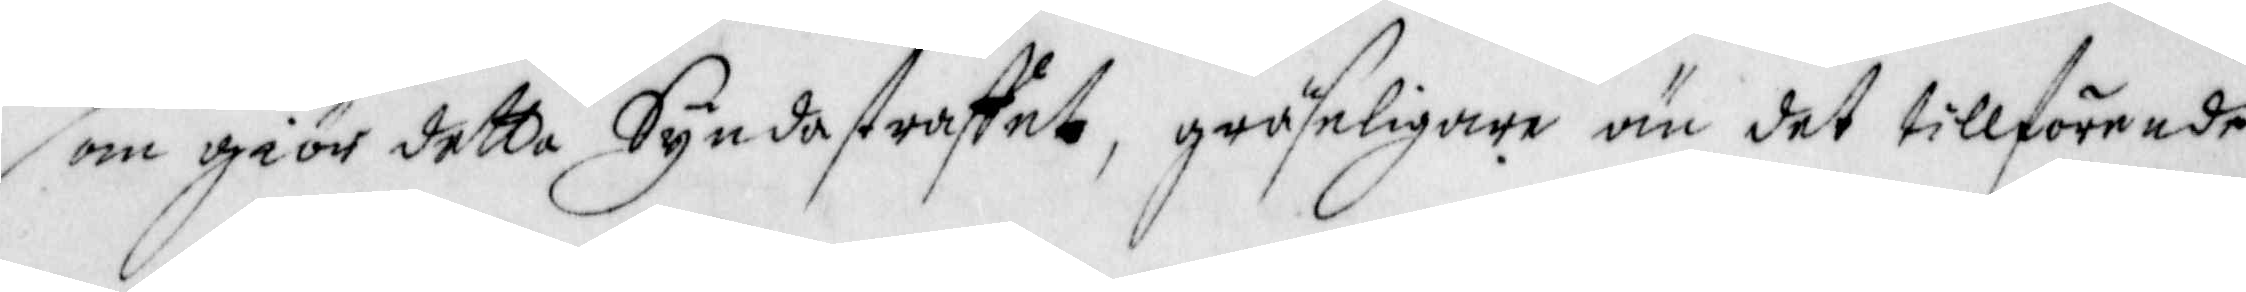som giör detta Syndastraffet, grufeligare än det tillförende
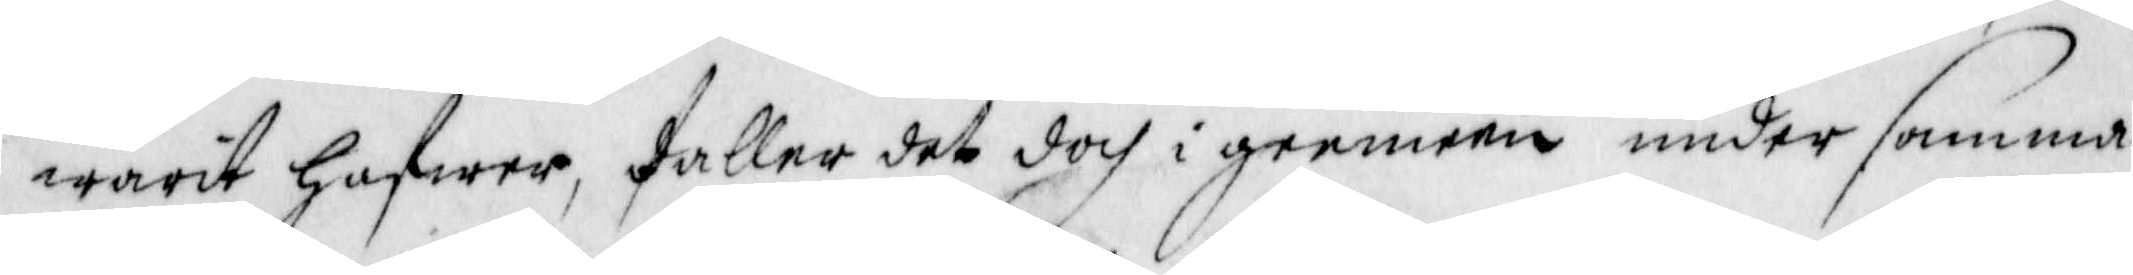warit hafwer, faller det doch i geemeen under samma
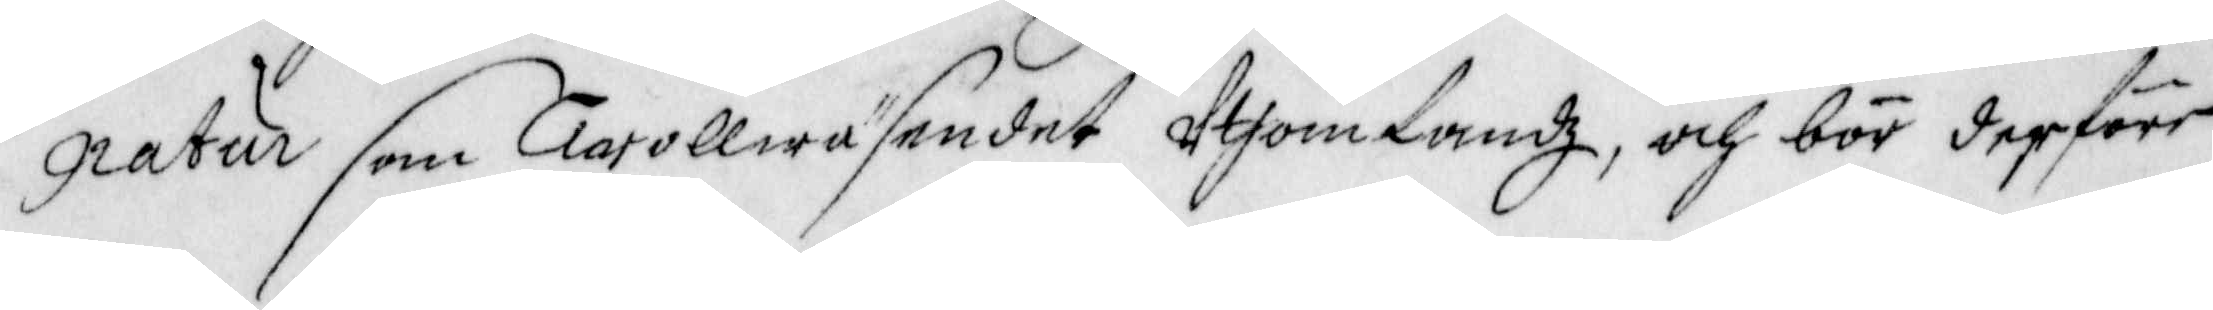gratur som trollwäsendet Utom landz, och bör derföre
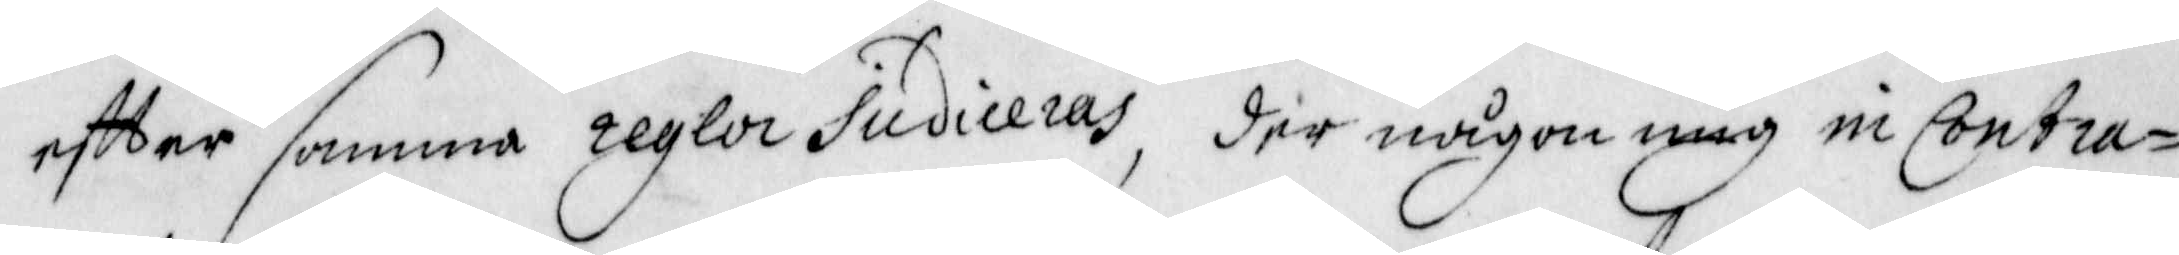eftter samma regla Sudiseras, der någon mig in Contra¬
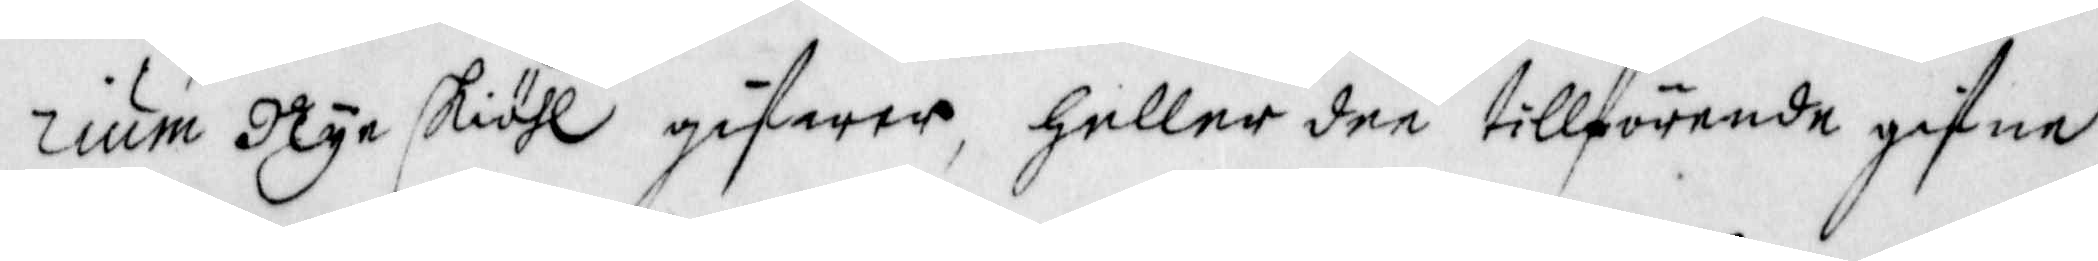rium Nye skiähl gifwer, heller dee tillförende gifne
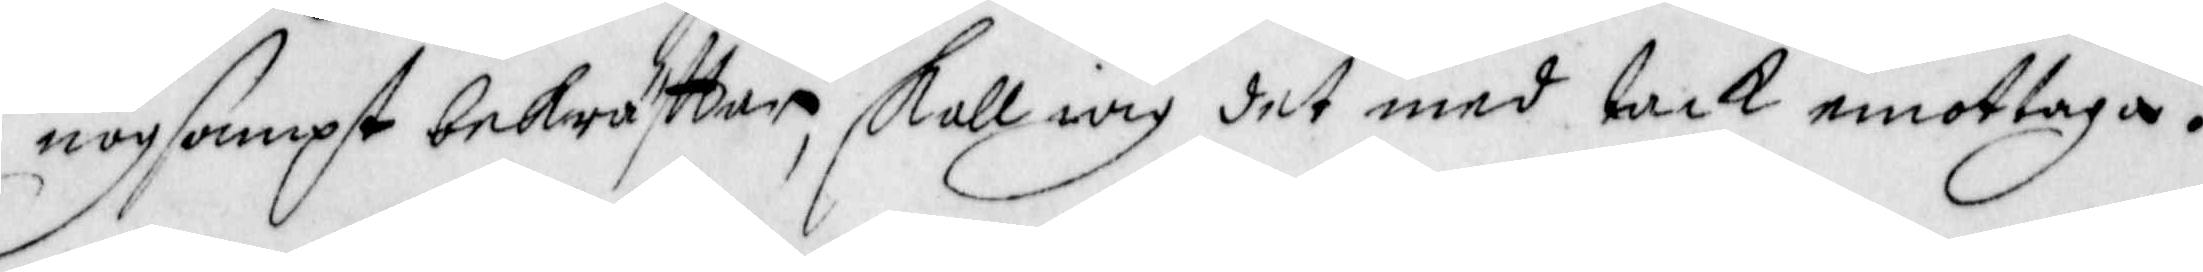nogsampt bekräfttar, skall iag det med tack emottaga.
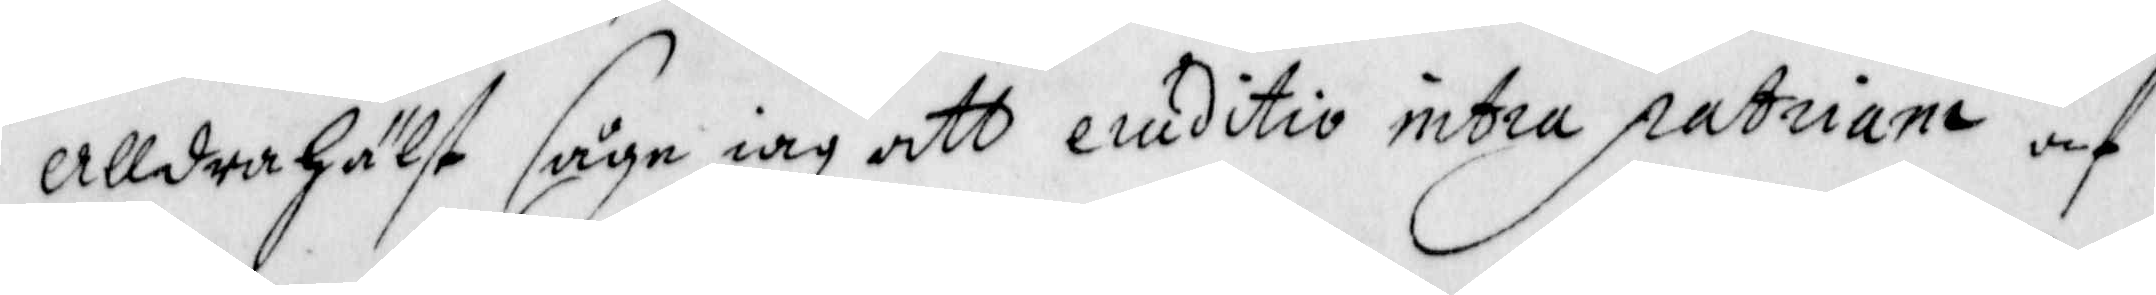Alldrahälst såge iag att ecuditio intra patriana och
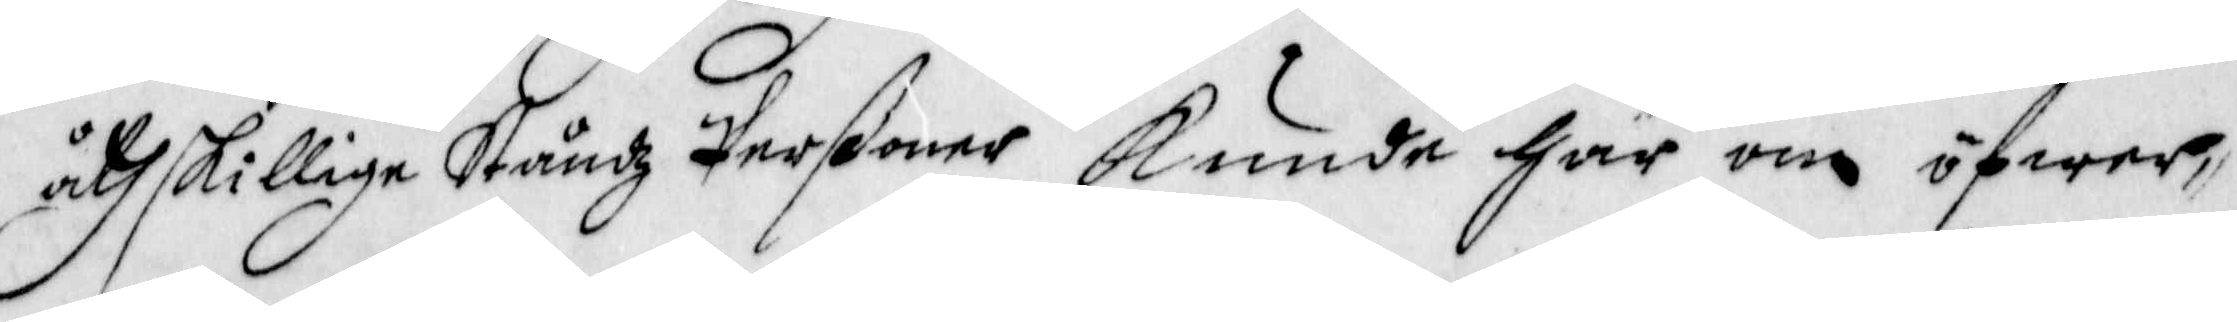åtskilliga Ståndz Perßoner kunde här om öfwer¬
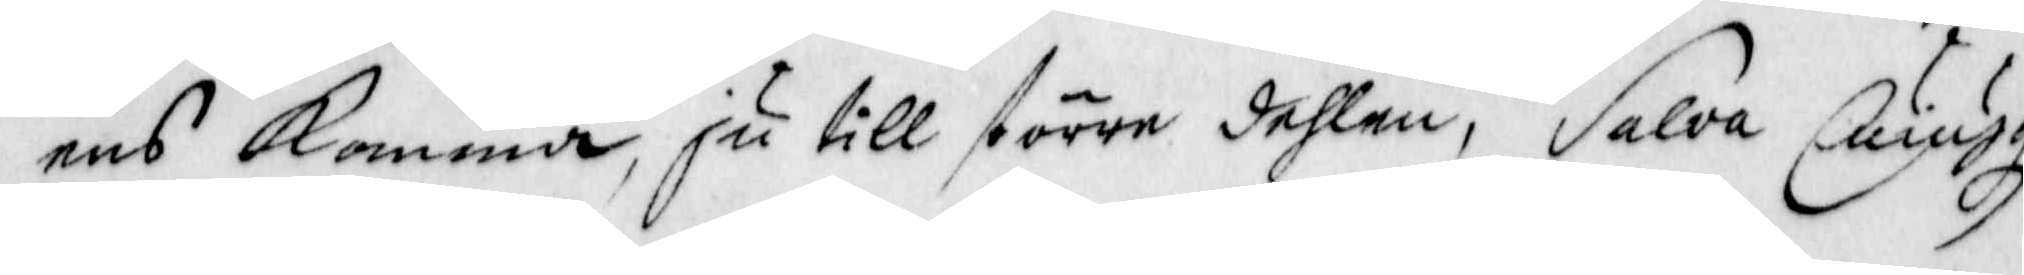end komma, ju till större dehlen, Salva Luiutg
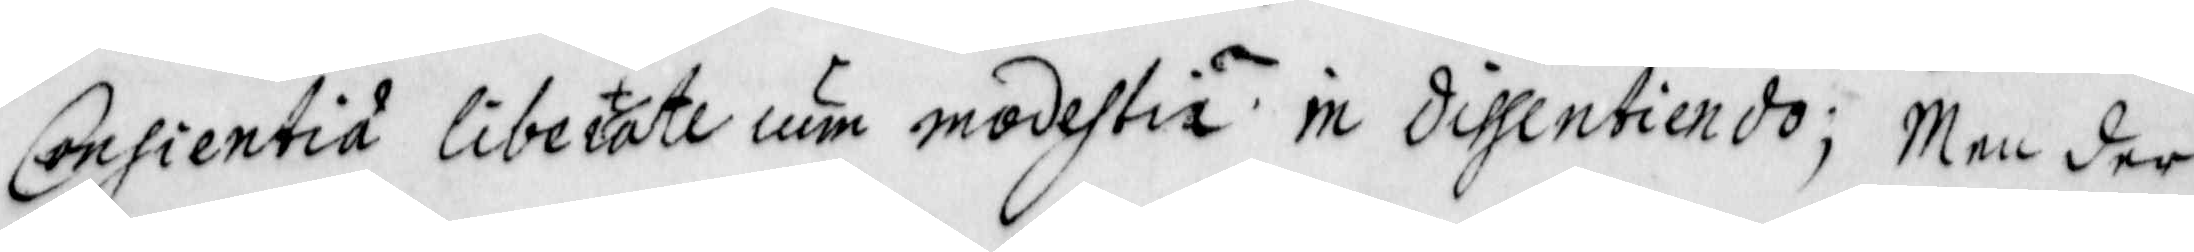Consientia libertate cum modestia in dithcentiendo; Men der
